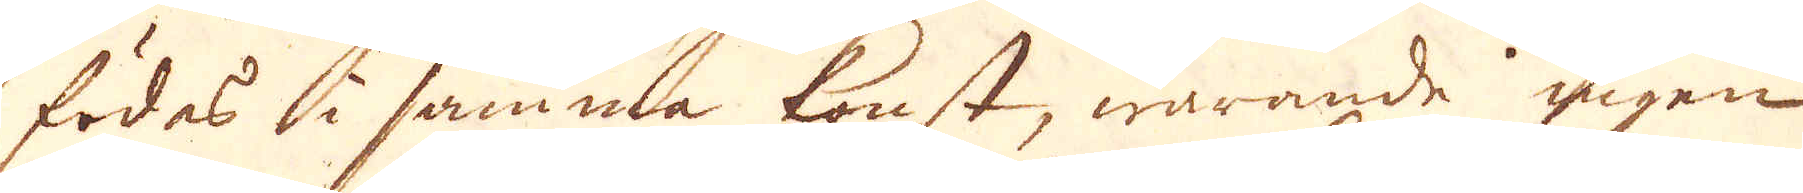födes i samma konst, warande ingen
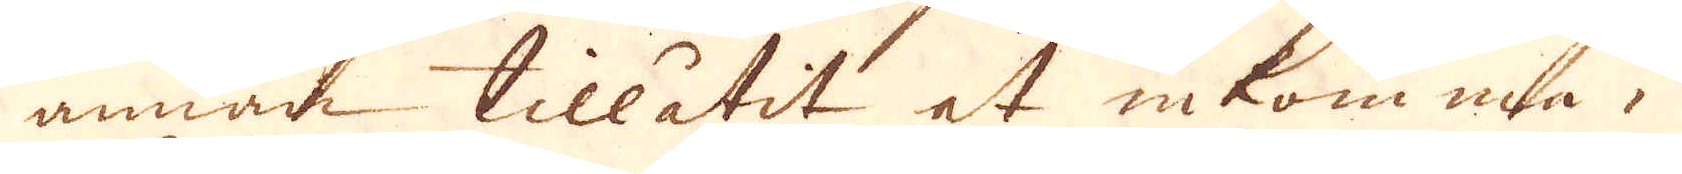annan tillåtit at inkomma i
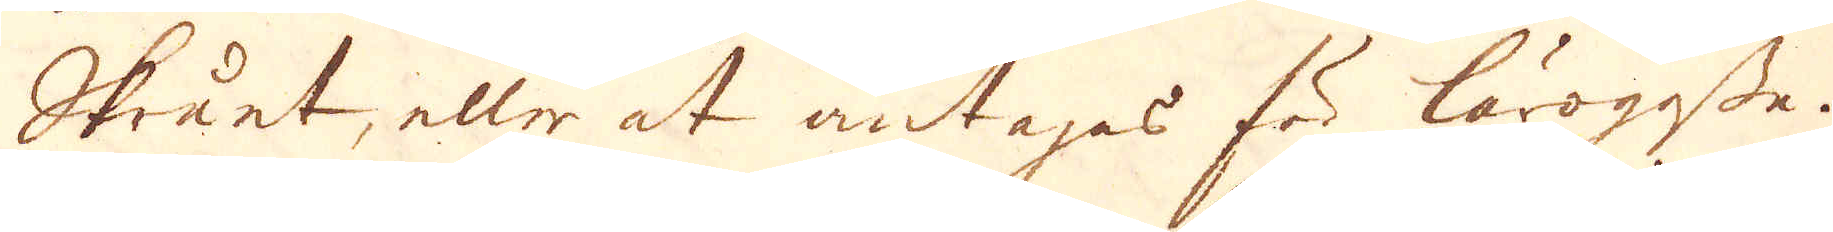Skrået, eller at antas för lärogosse.
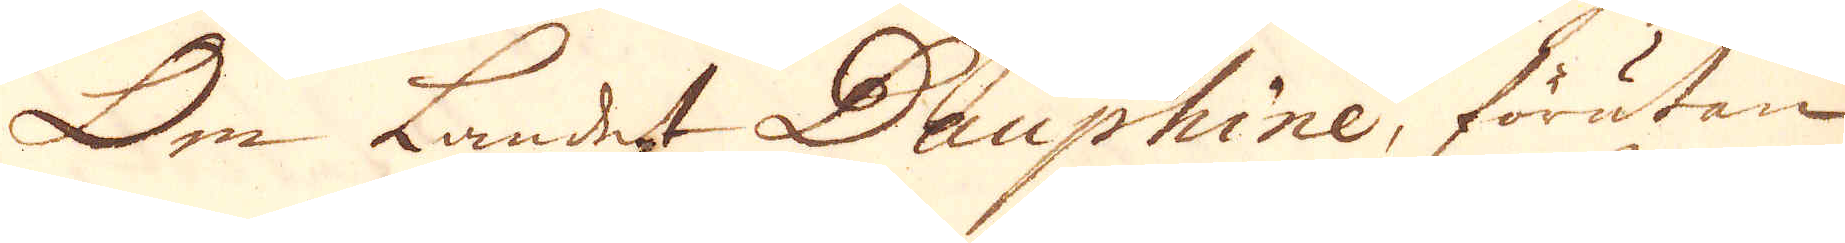Om Landet Dauphine, förutan
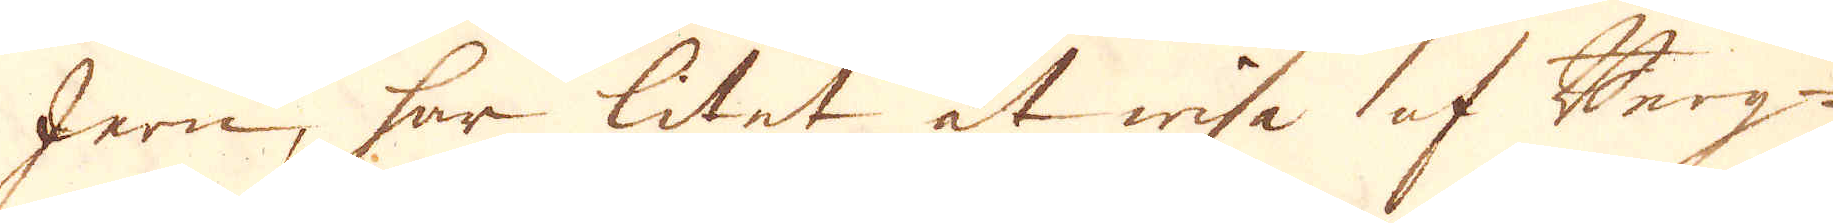Jern, har litet at wisa af Berg-
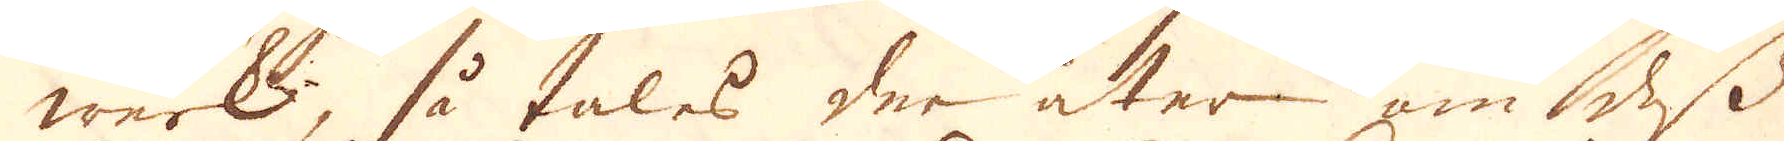werk, så tales der åter om dess
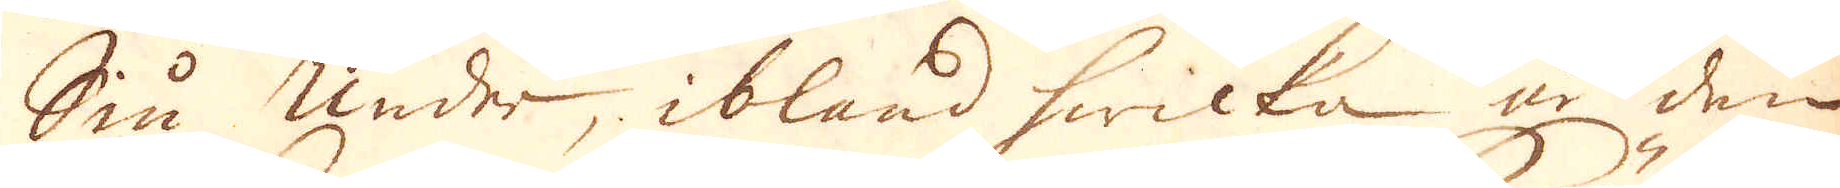Siu under, ibland hwicka är den
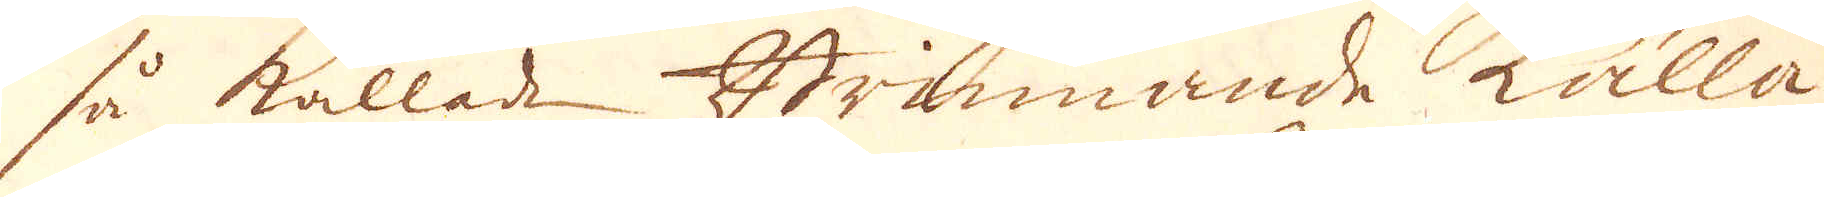så kallade Brinnande Källa
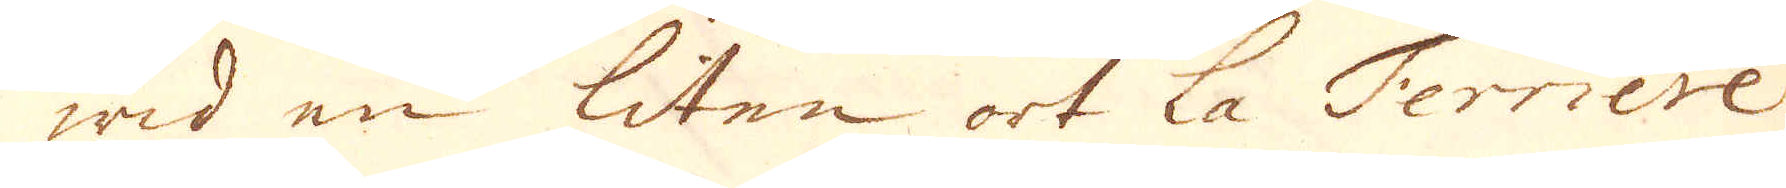wid en liten ort la Ferriere
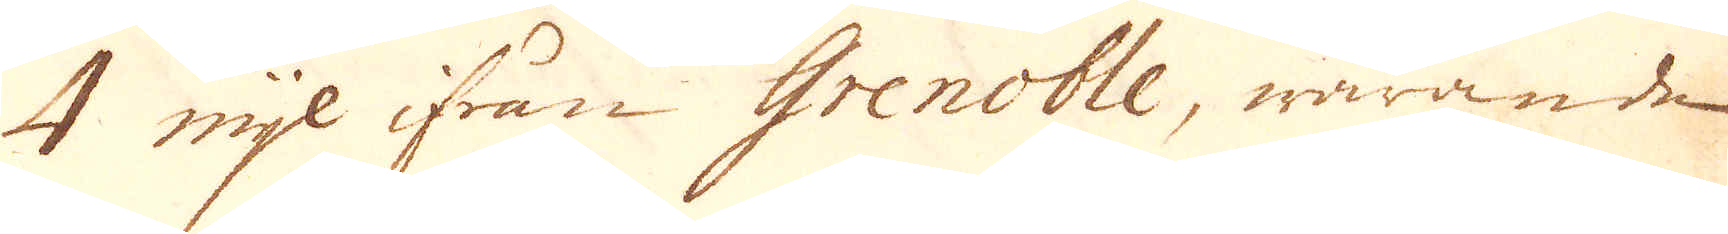4 mijl ifrån Grenoble, warande
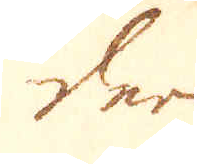der
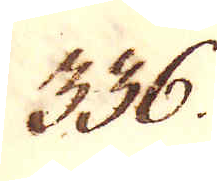336.
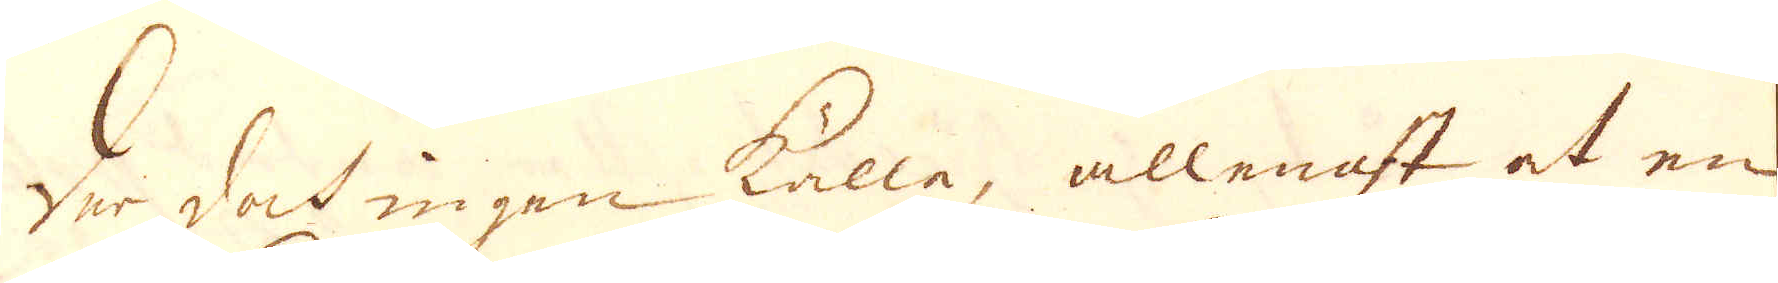Der dock ingen Källa, allenast at en
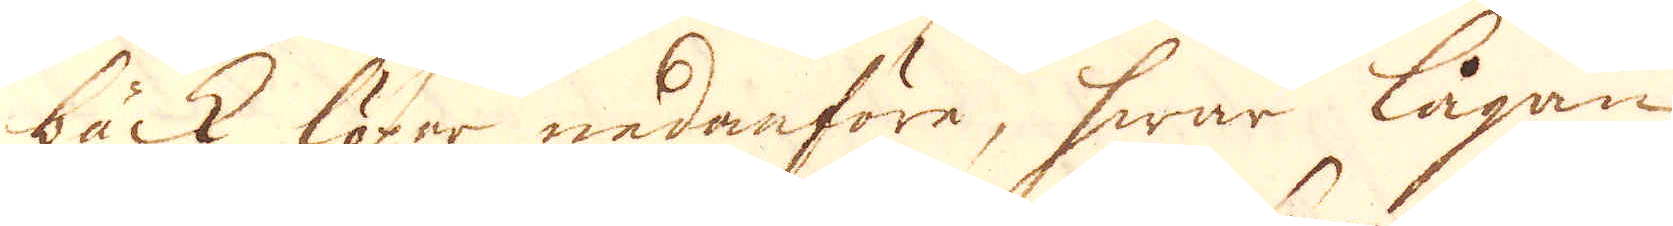bäck löper nedanföre, hwar lågan
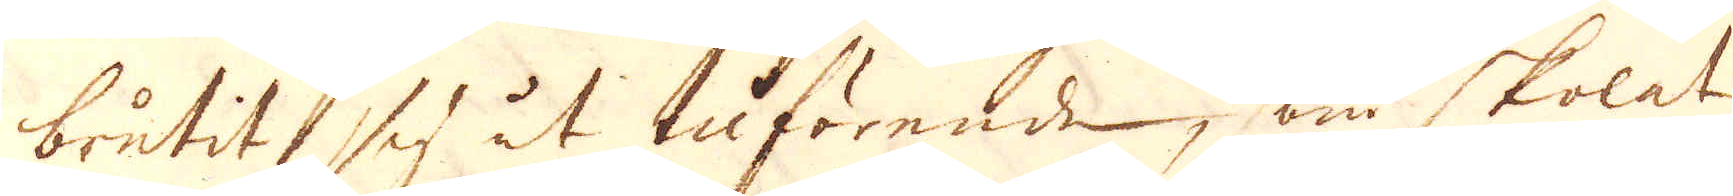brutit sig åt tilförende, som skolat
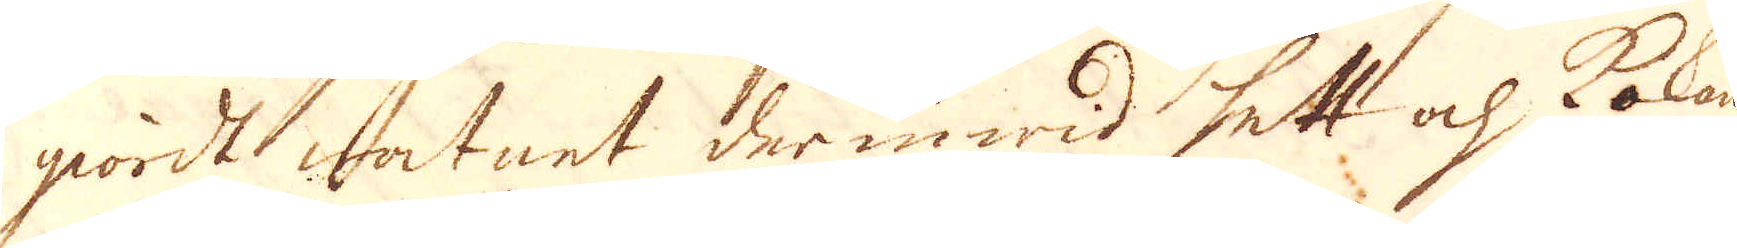giordt watnet der in wid hett och Kokan-
